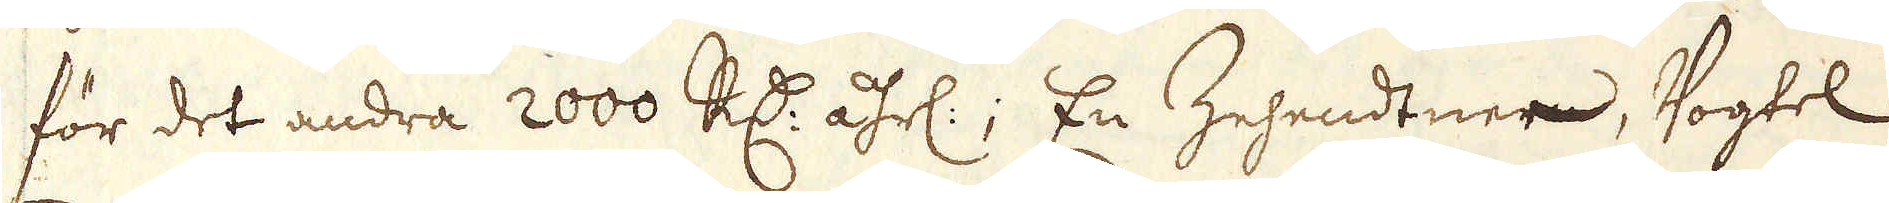för det andra 2000 R:dr åhrl:; En Zehendtner, Vogtel
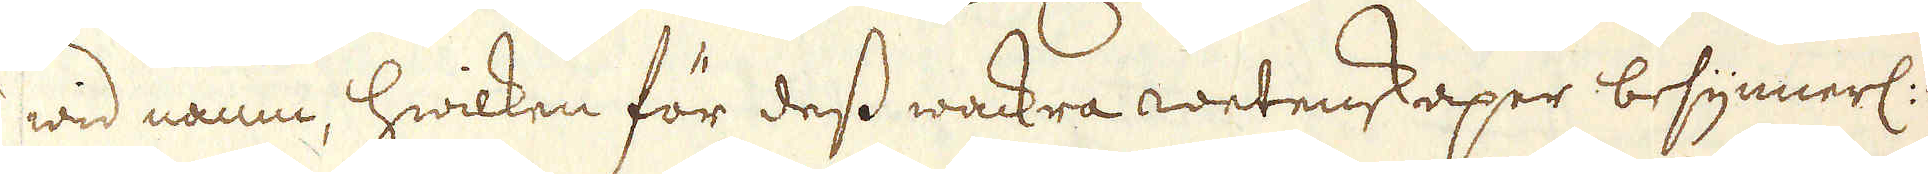wid namn, hwilken för dess wackra wetenskaper besynnerl: i
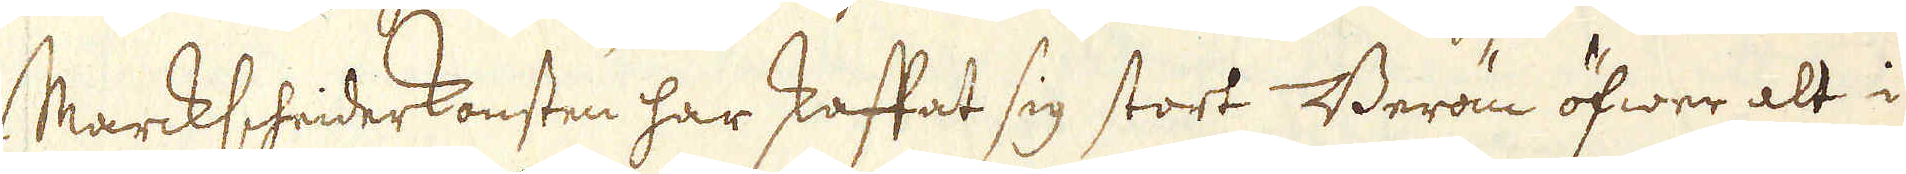Marckscheiderkonsten har skaffat sig stort Beröm öfwer alt i
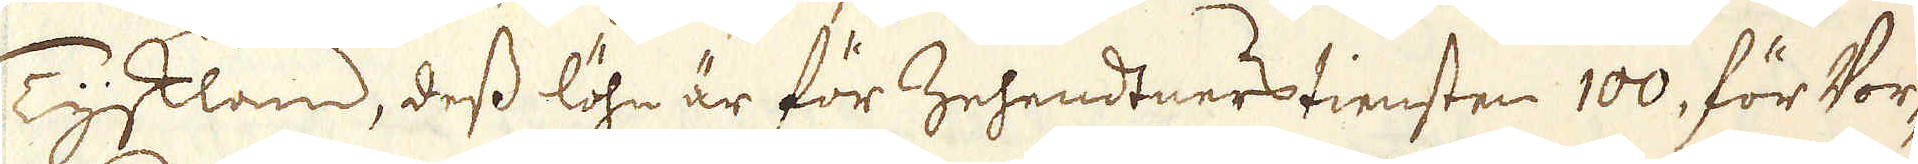Tyskland, dess löhn är för Zehendtners tiensten 100, för Vor-
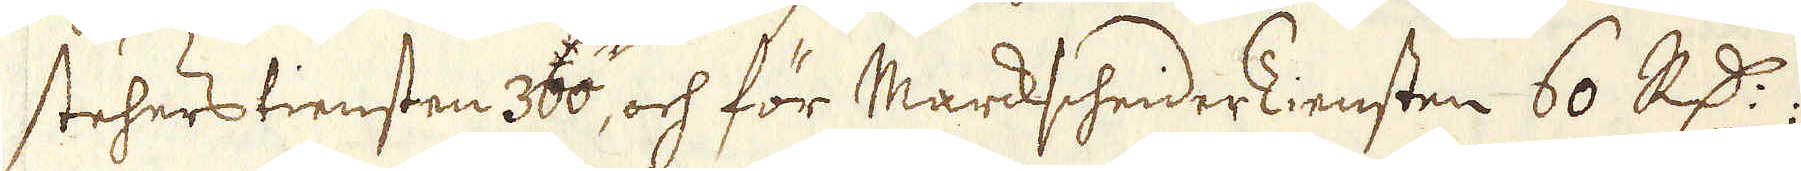stehers tiensten 300, och för Markscheider Tiensten 60 R:dr;
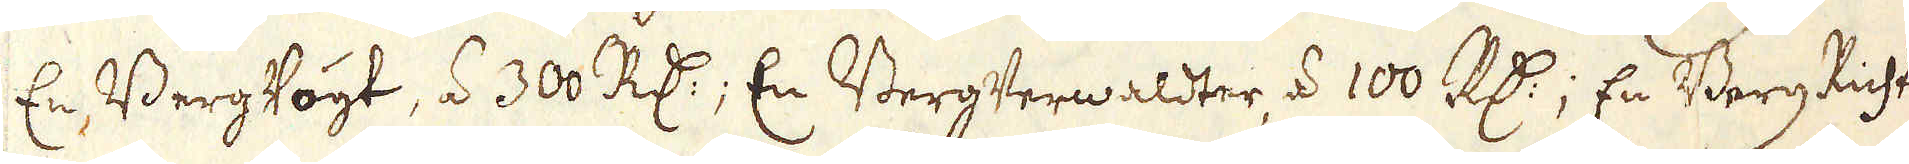En Berg Vogt, á 300 R:dr; En Berg Verwaldter á 100 R:dr; En Berg Richter,
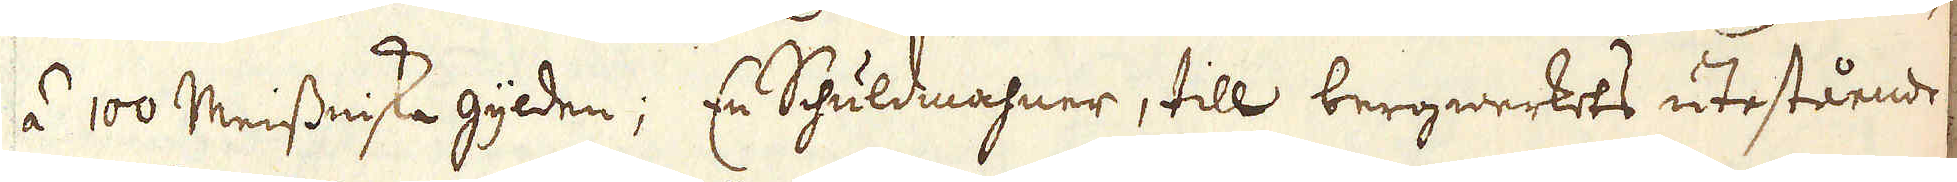á 100 Meissniske gylden; En Shuldmahner, till bergwerkets utestående
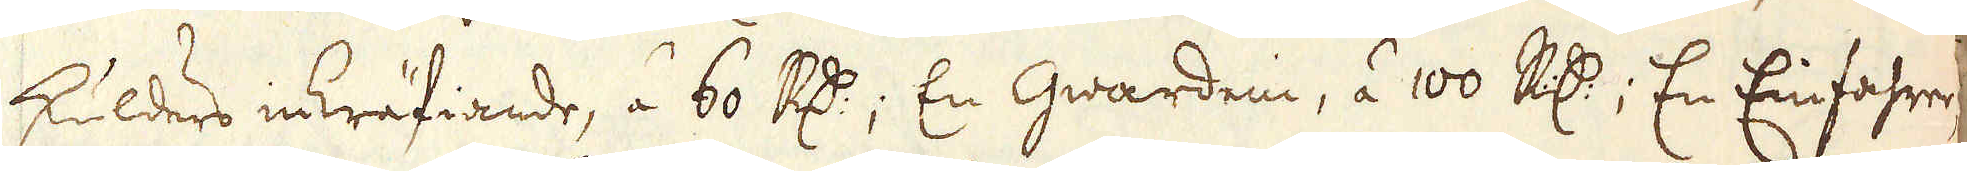skulders inkräfiande, á 60 R:dr; En Gwardein, á 100 R:dr; En Einfahrer
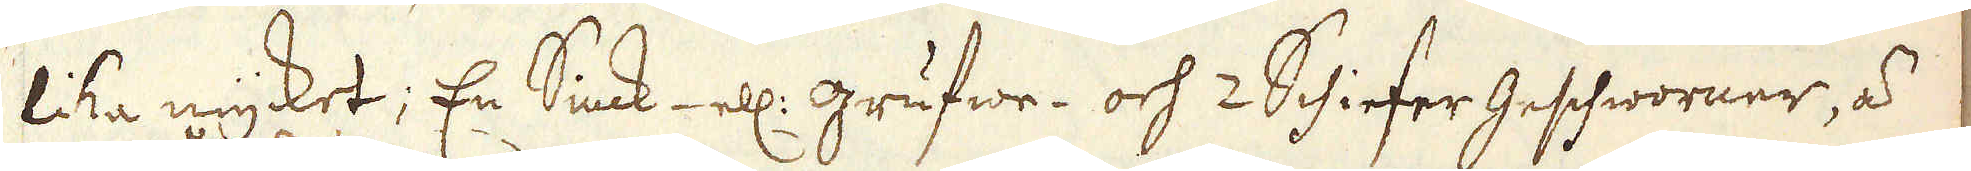lika mycket; En Sinck- ell: grufwe- och 2 Schiefer Geshworner, á
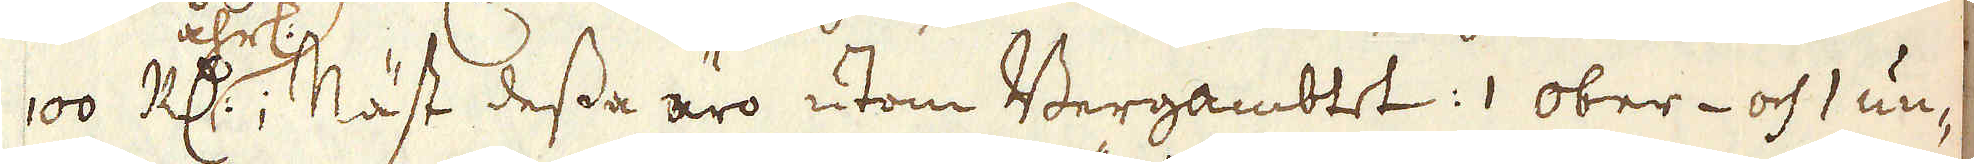100 R:dr åhrl:; Näst dessa äro utom Bergambtet :1 Ober- och 1 un-
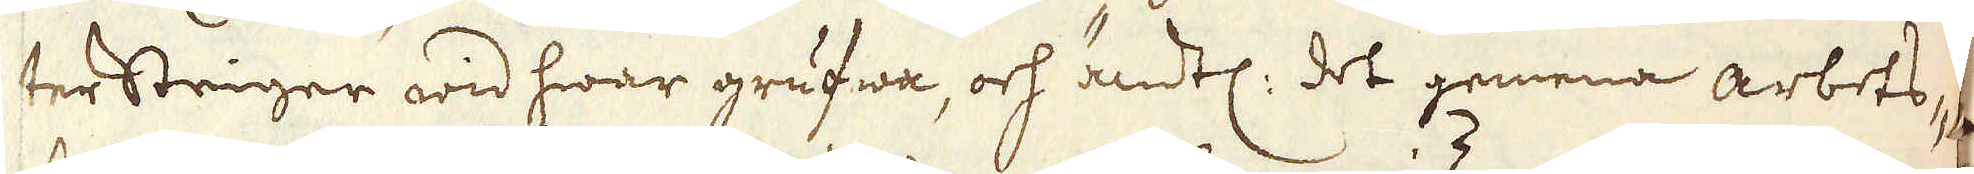tersteiger wid hwar grufwa, och ändtl: det gemena arbets-
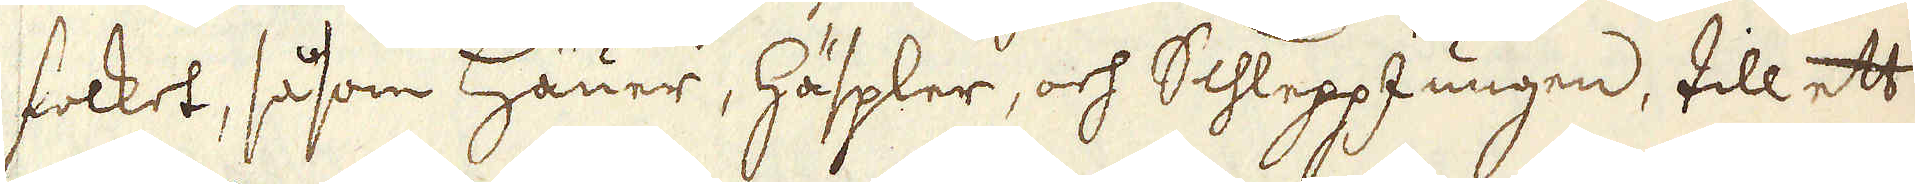folket, såsom Häuer, Häspler, och Schlepp Jungen, till ett
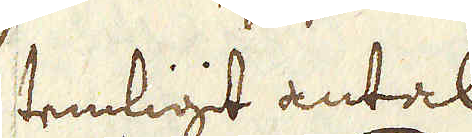temligit antal.
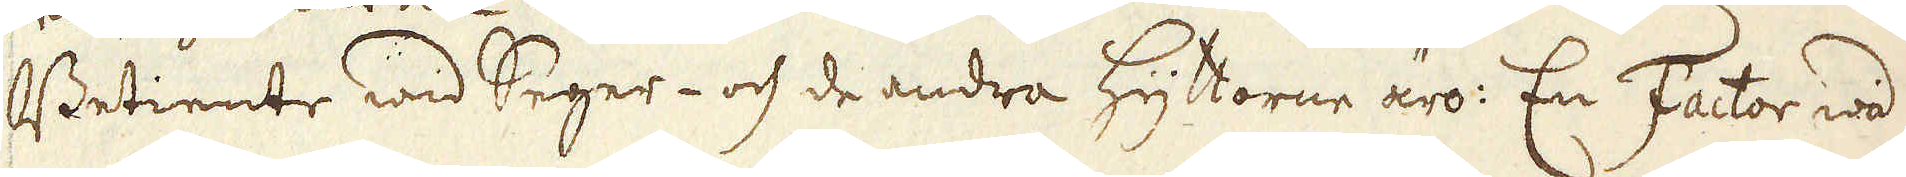Betiente wid Seger- och de andra Hyttorne äro: En Factor wid
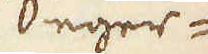Seger-
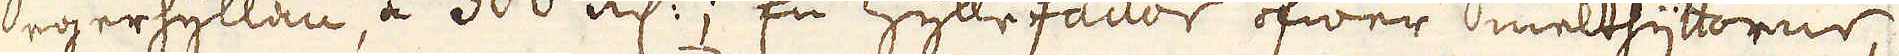Segerhyttan, á 300 R:dr; En Hyttefactor öfwer Smelthyttorne,
